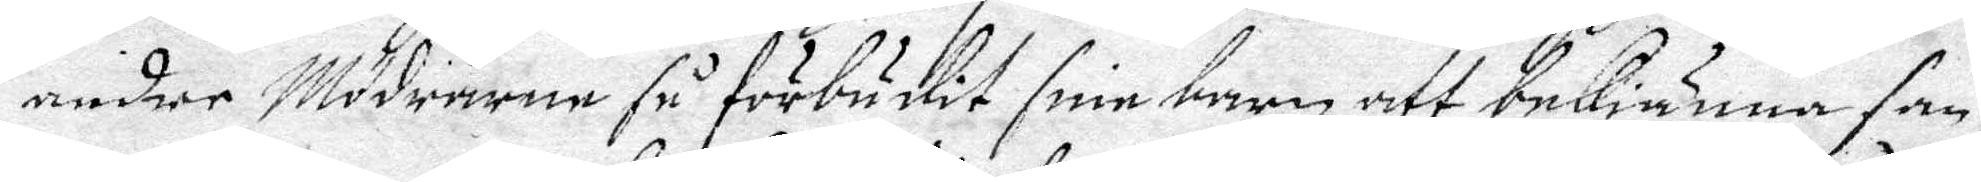andre Mödrarne så förbudit sine barn att bekiänna san¬
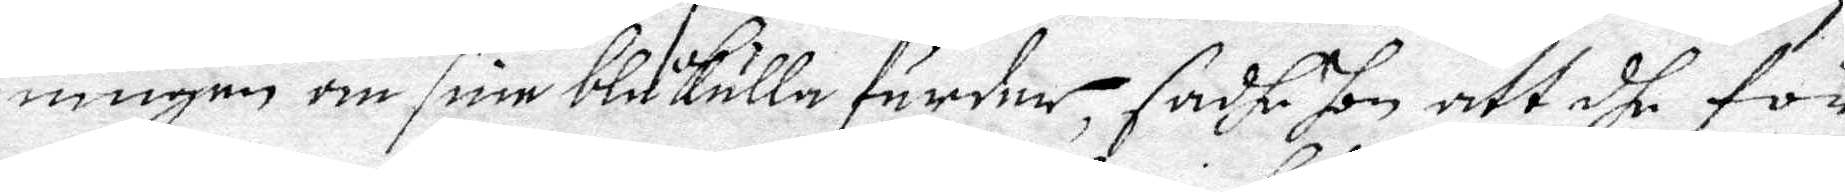ningen om sine blåkulla färder, sadhe hon att dhe för
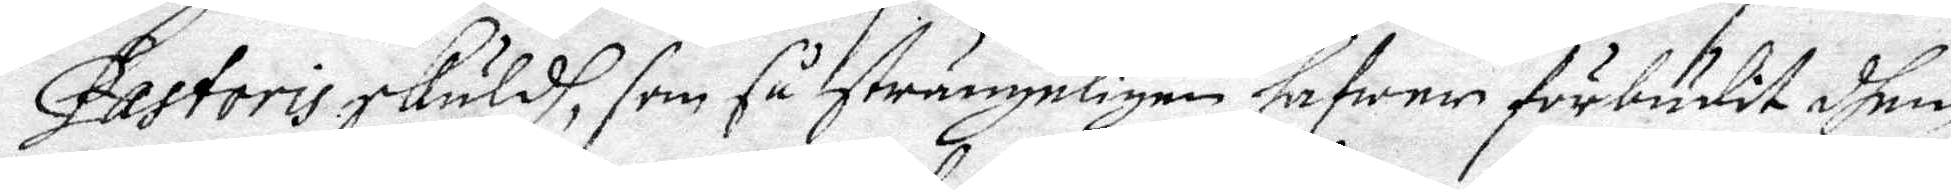Pastoris skuldh, som så strängeligen hafwa förbudit dhem
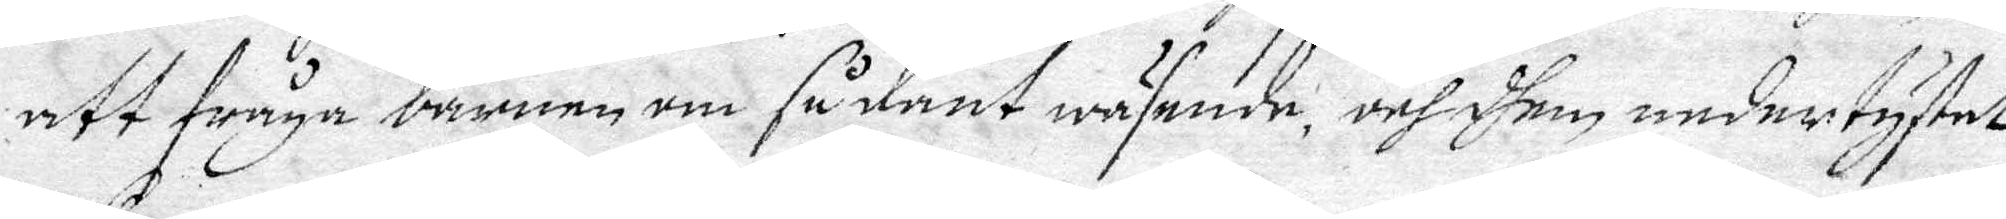att fråga barnen om sådant wäsende, och dhem nedertystat
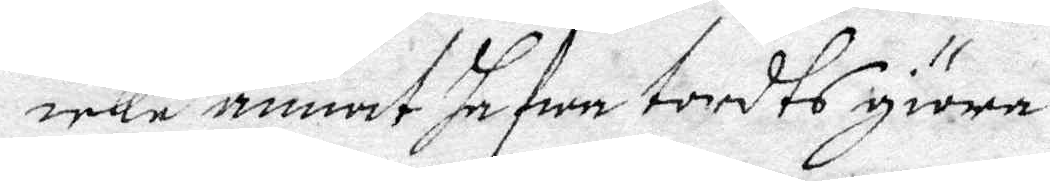icke annat hafwa tordts giöra.
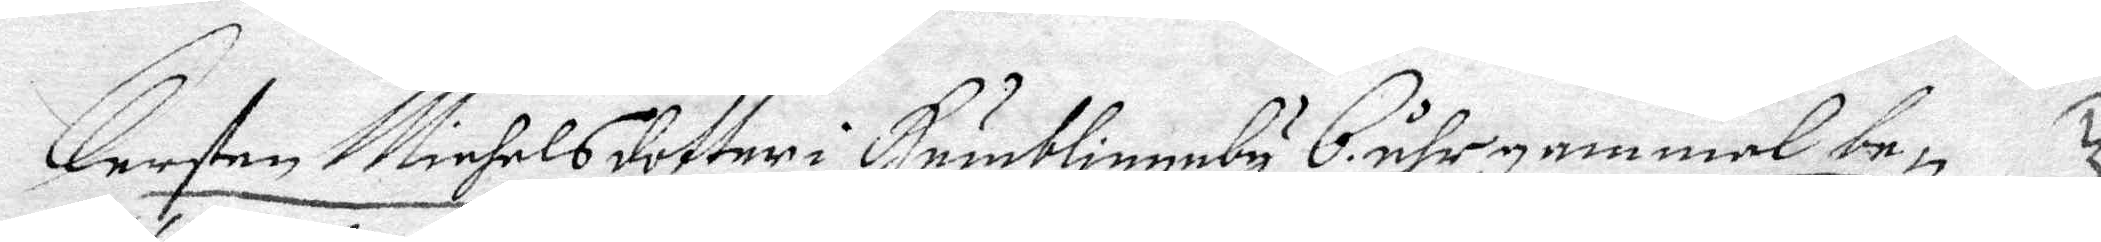Kersten Michelsdotter i Humblingeby 6 åhr gammal be¬
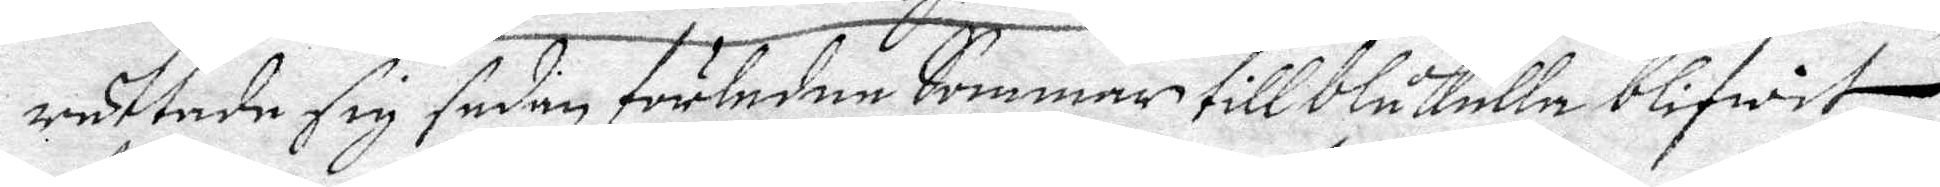rättade sig sedan förledne Sommar till blåkulla blifwit
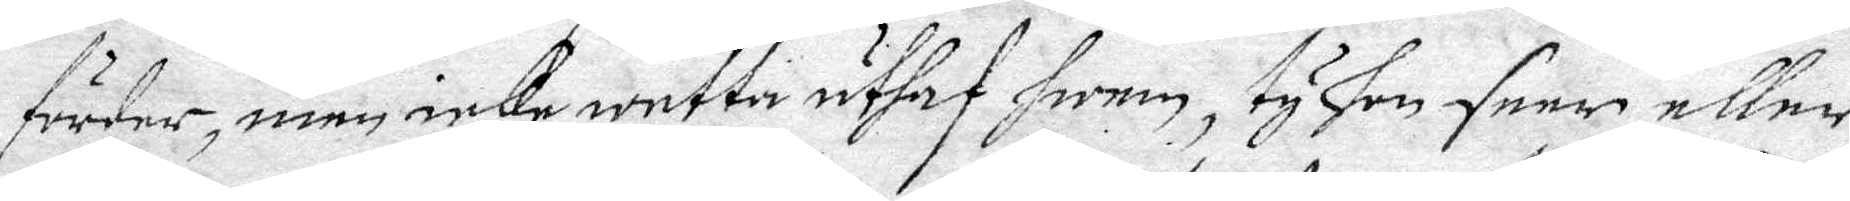förder, men icke wetta uthaf hwem, ty hon seer eller
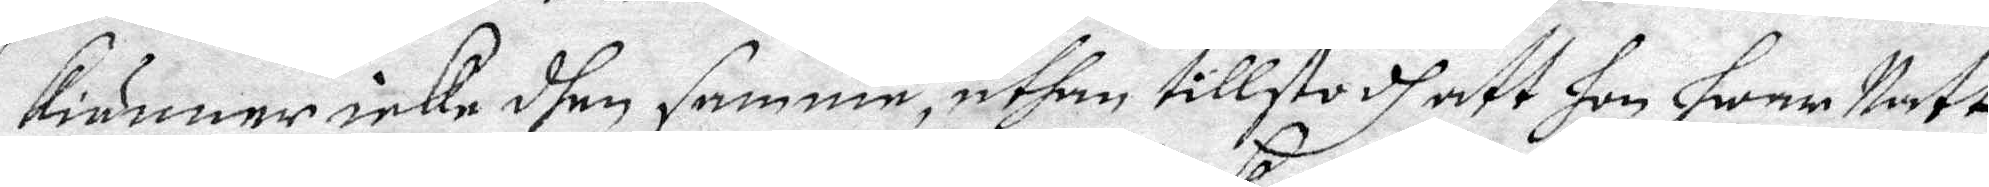kiänner icke dhen samme, uthan tillstodh dhett hon hwar Natt
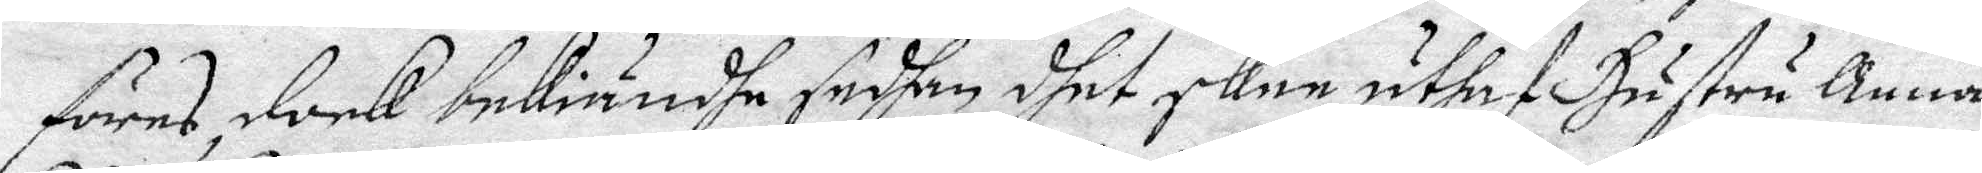föres, dock bekiändhe sedhan dhet sker uthaf Hustru Anna
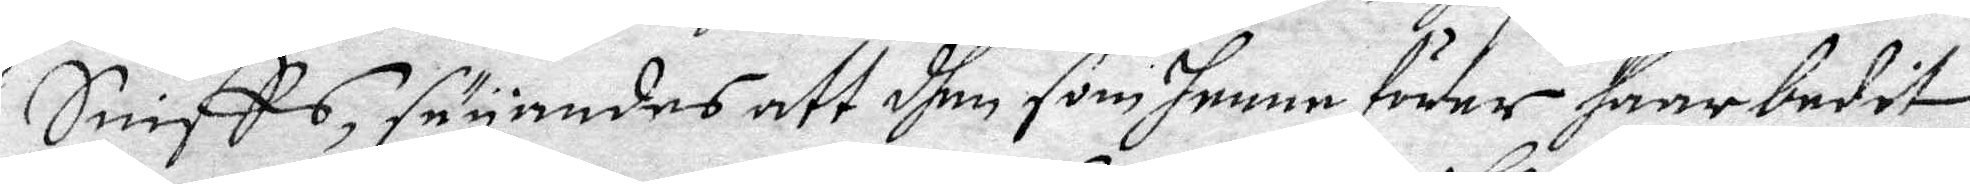Sniffs, säyandes att dhem som henne förer haar bedit
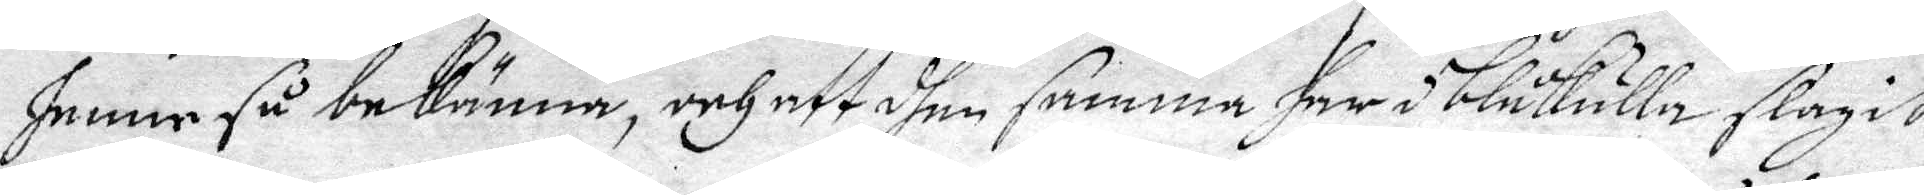henne så bekänna, och att dhen samma har i blåkulla slagit
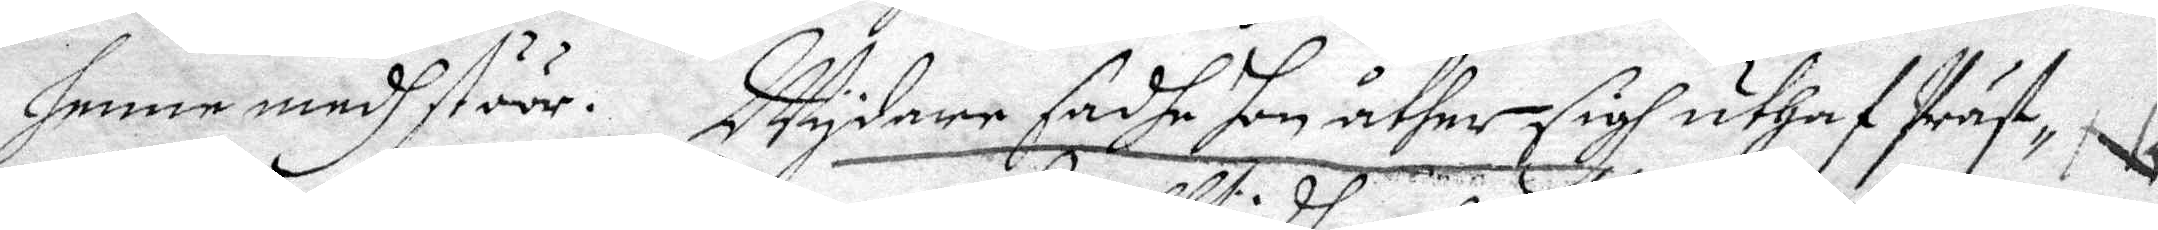henne med stöör. Wydare sadhe hon åther sigh uthaf Präst¬
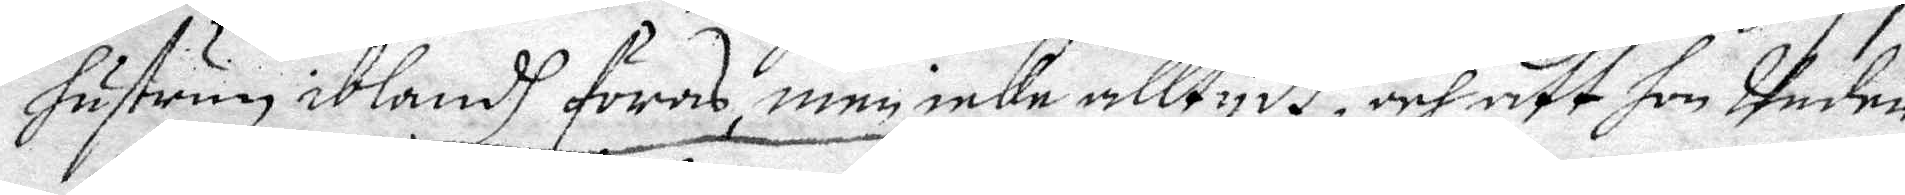hustrun iblandh föras, men icke alltydh, och att hon Under
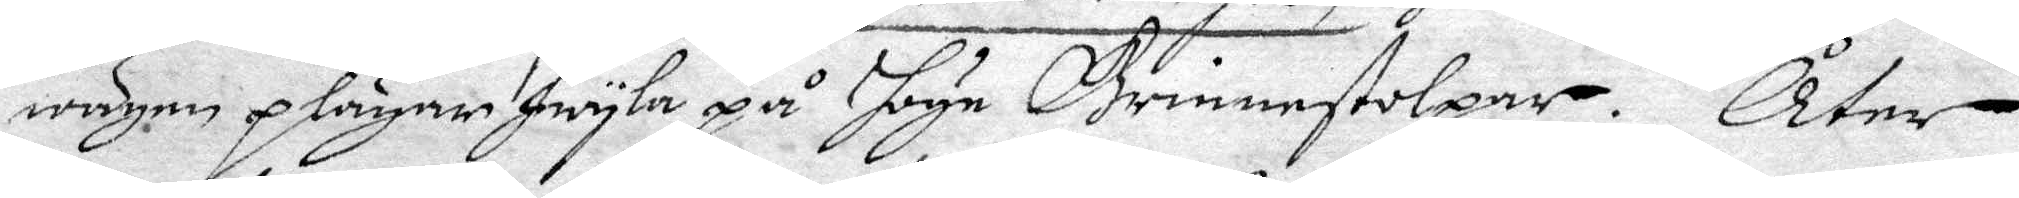wägen plägar hwyla på byn Grindstolpar. Åter
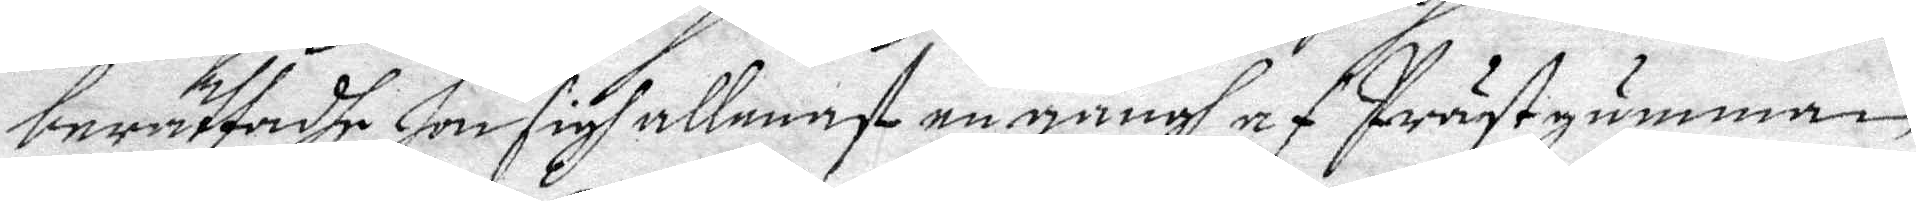berättadhe hon sigh allenast en gångh af Prästgumman
